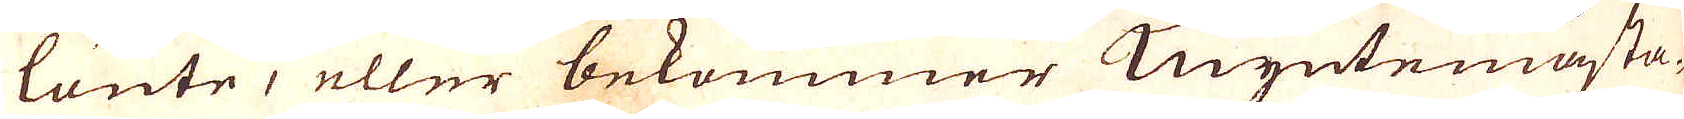länte, eller bekommer Myntemästa-
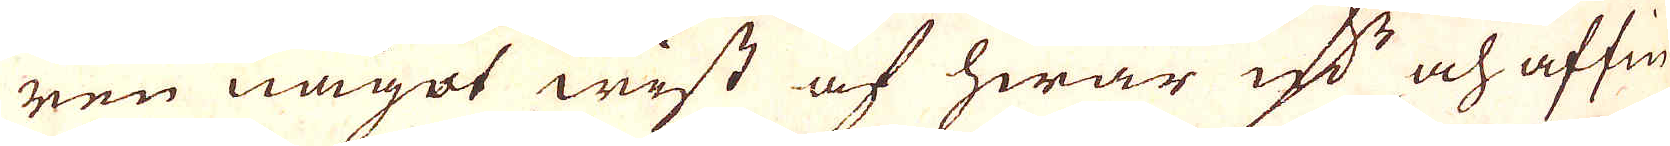ren något wist af hwar qv:n och affin-
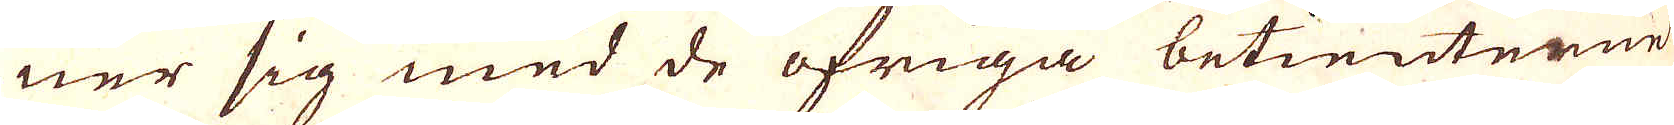ner sig med de öfriga betientenne
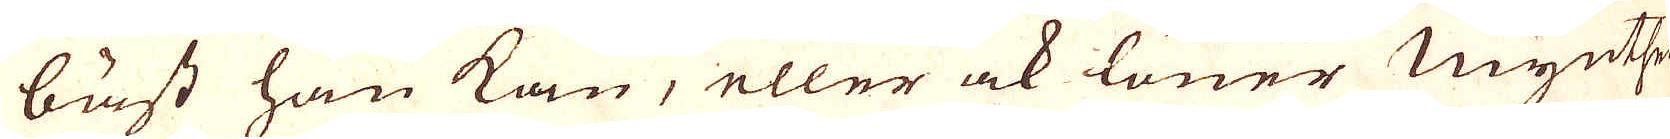bäst han kan, eller ock läner Mynther-
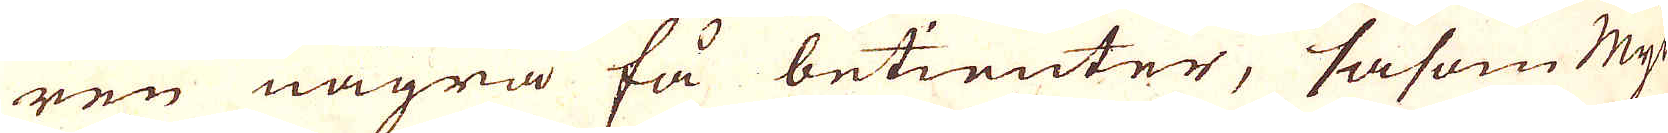ren några få betienter, såsom Myn-
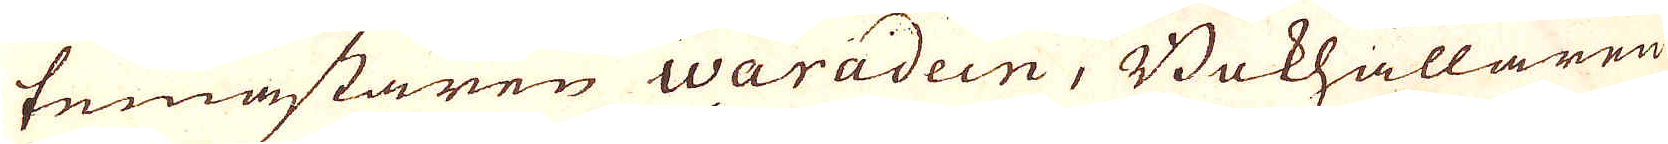temästaren Waradein, Bokhållaren
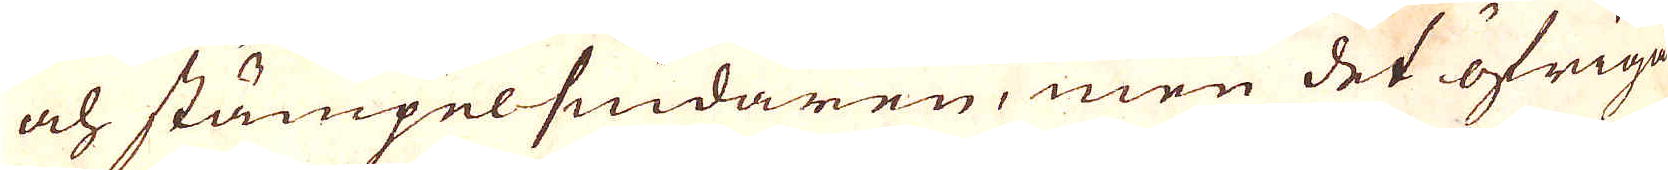och stämpelsnidaren, men det öfriga
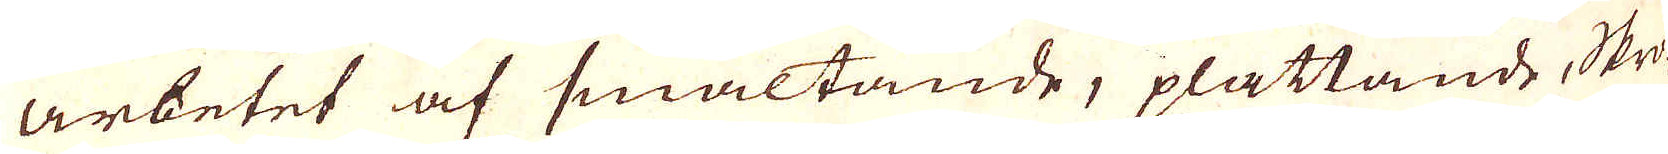arbetet af smältande, plattande Skro-
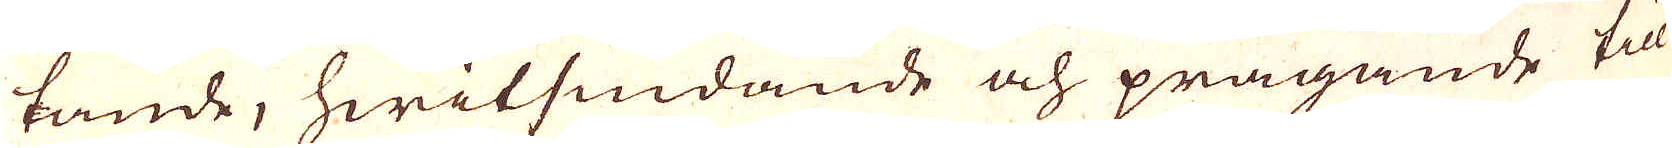tande, hwitsiudande och prägande till-
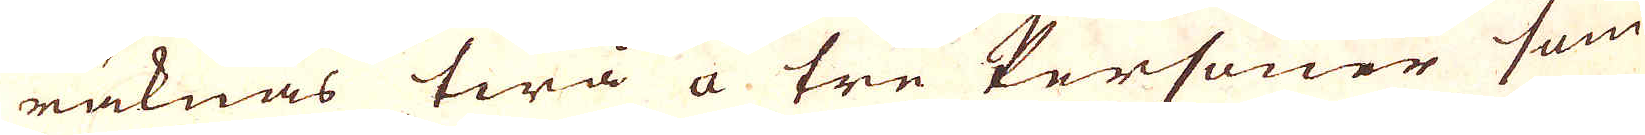räknas twå a tre Personer som
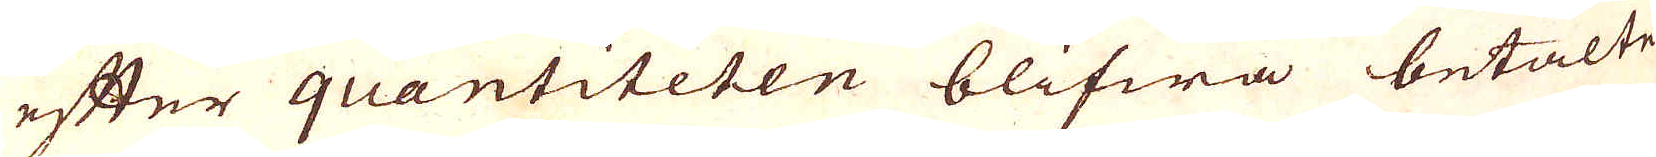efter quantiteten blifwa betalte
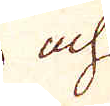och
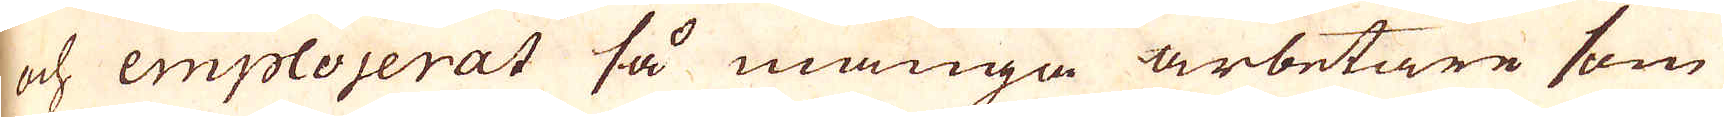och emplojerat så många arbetare som
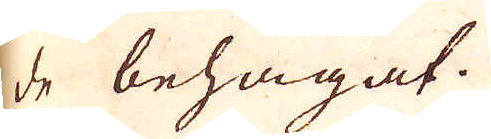de behagat.
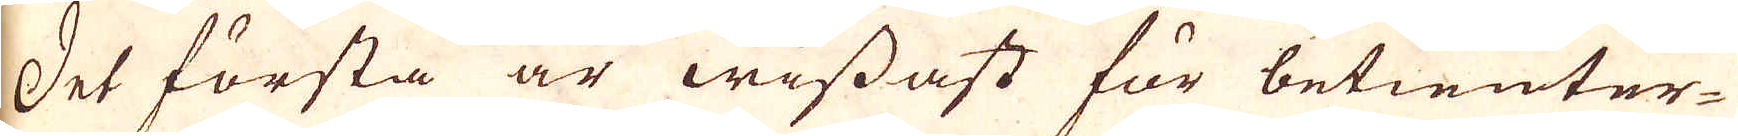Det första är wissast för betienter-
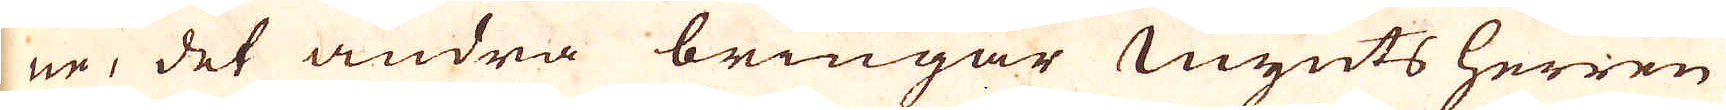ne, det andra bringar Mynts herren
